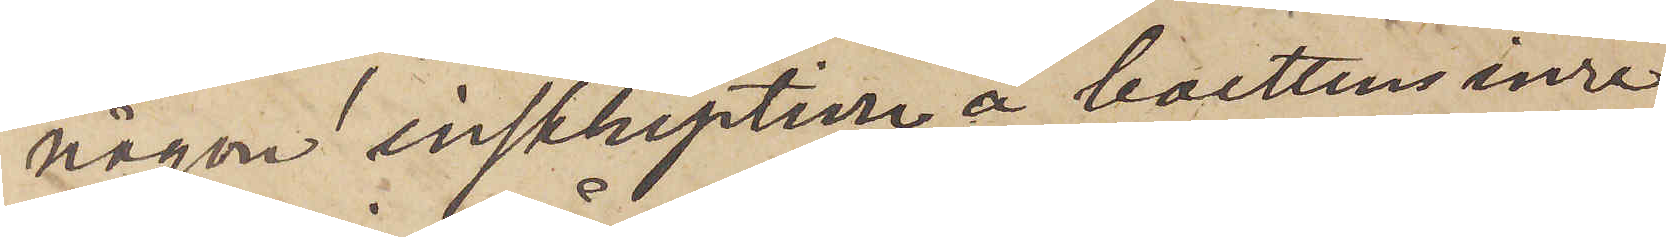någon inskription å bottens inre
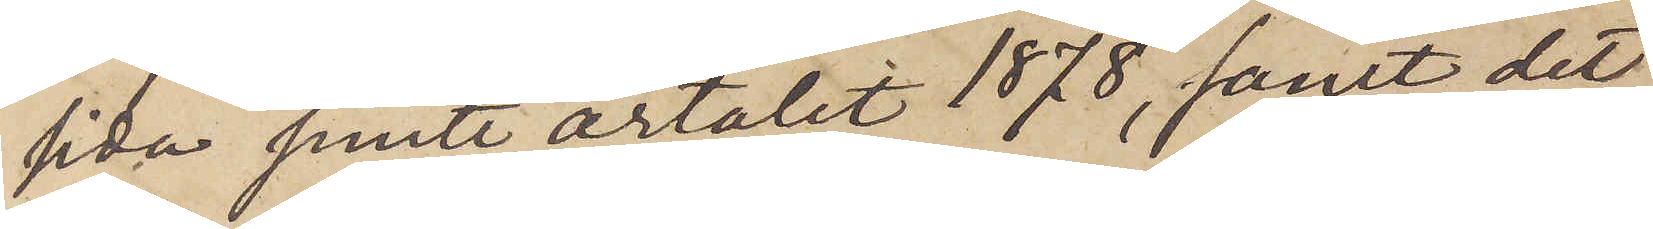sida jemte årtalet 1878, samt det
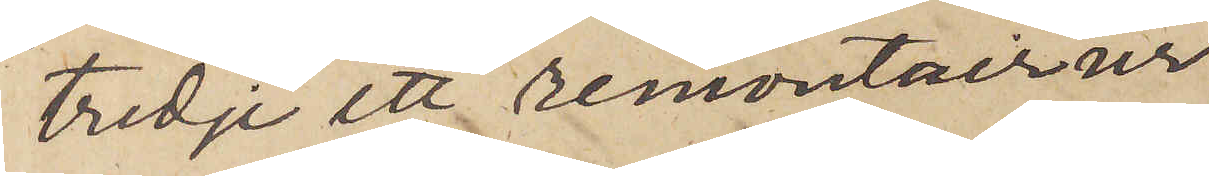tredje ett remontoirur
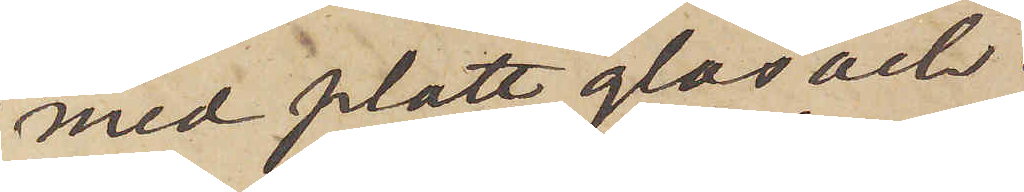med platt glas och
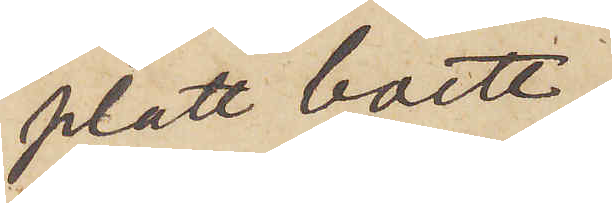platt boett,
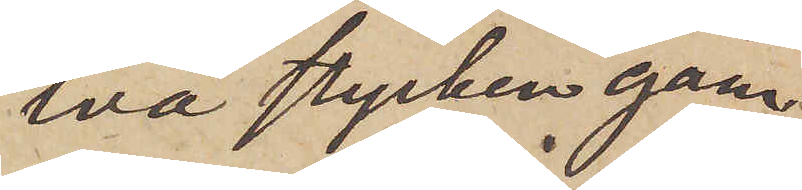två stycken gam¬
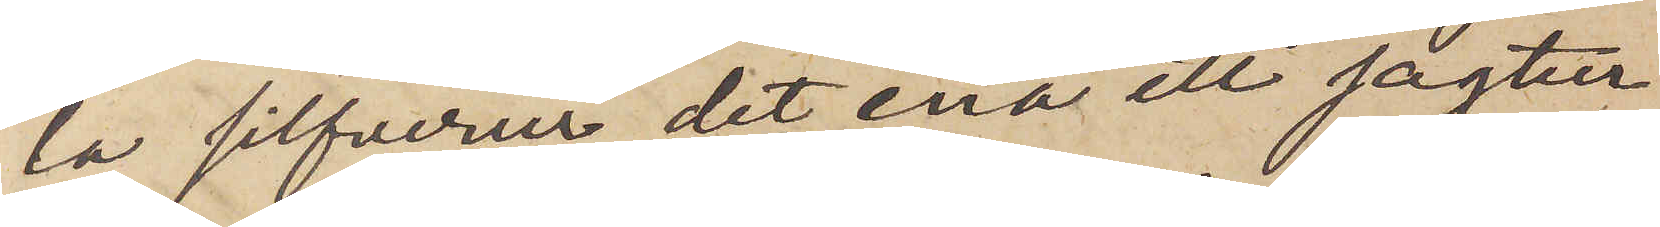la silfverur, det ena ett jagtur
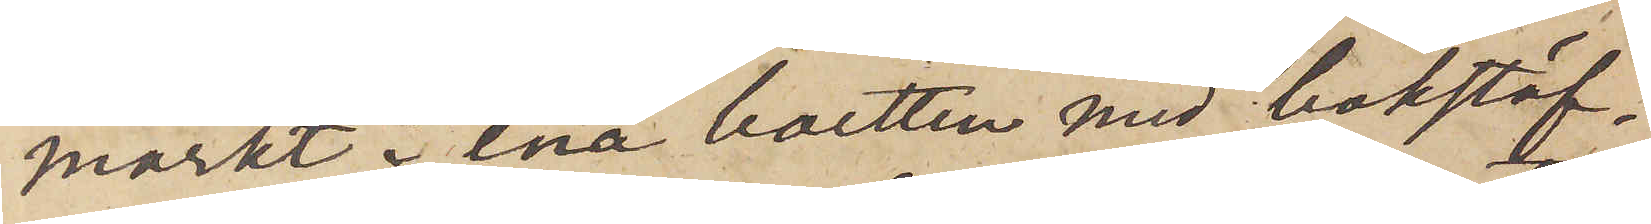märkt i ena boetten med bokstäf¬
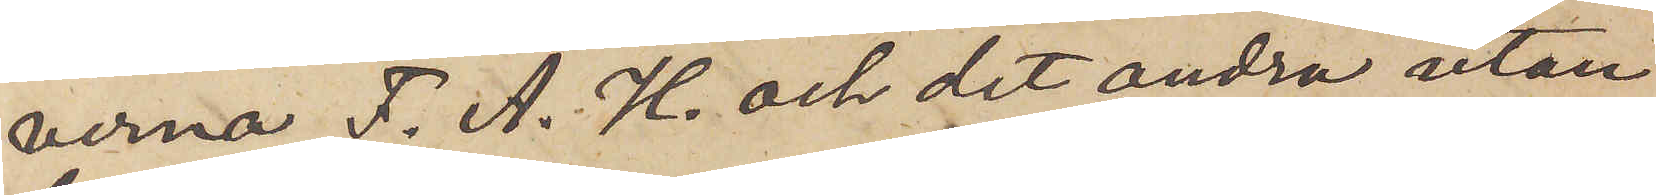verna F. A. H. och det andra utan
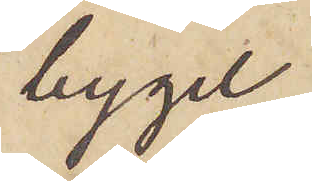bygel,
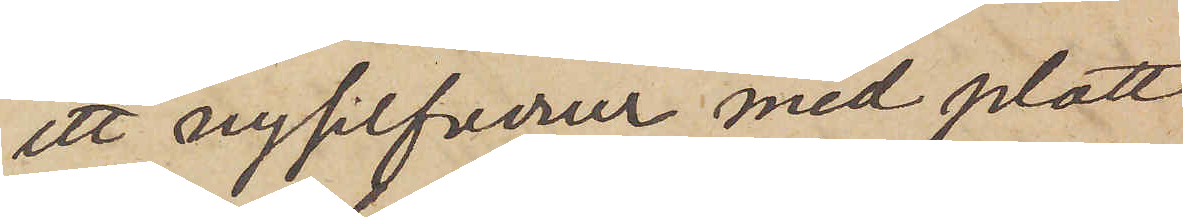ett nysilfverur med platt
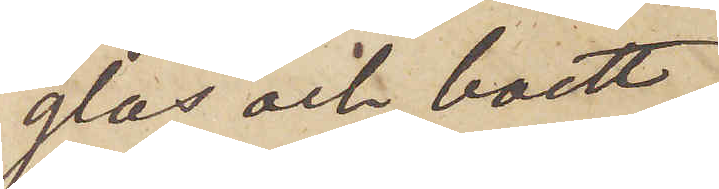glas och boett,
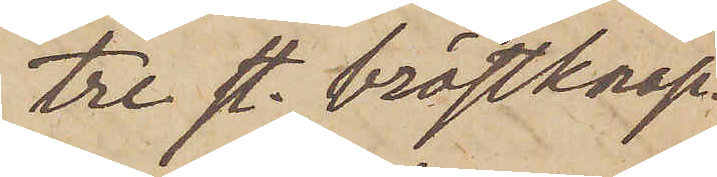tre st. bröstknap¬
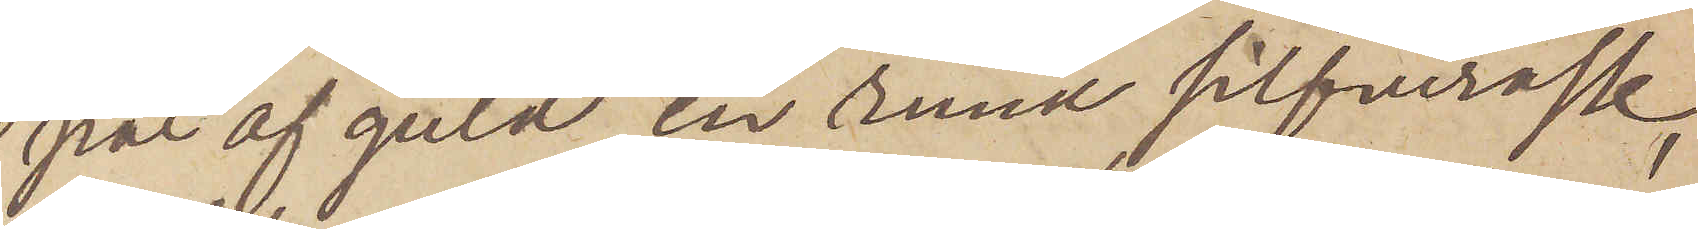par af guld, en rund silfverask,
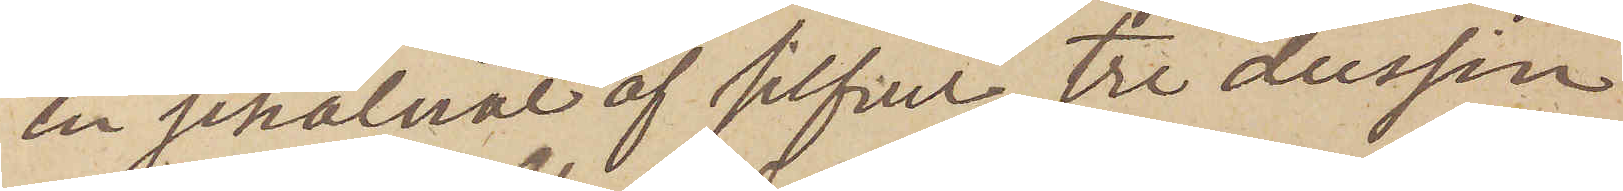en schalnål af silfver, tre dussin
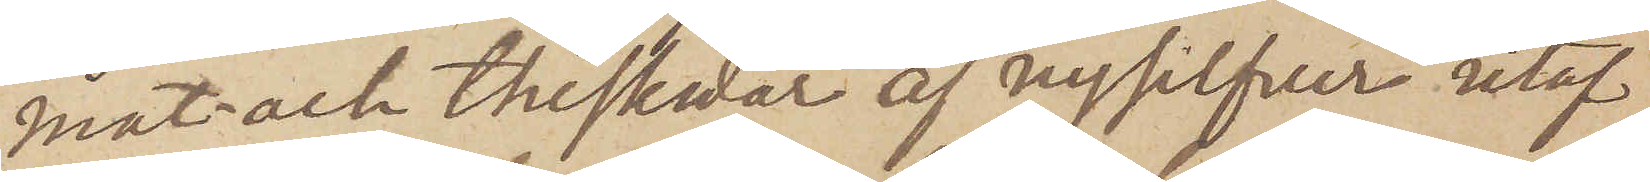mat- och theskedar af nysilfver utaf
